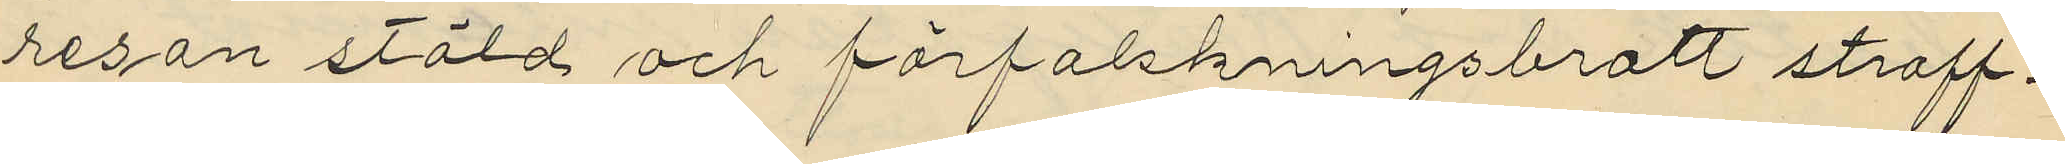resan stöld och förfalskningsbrott straff¬
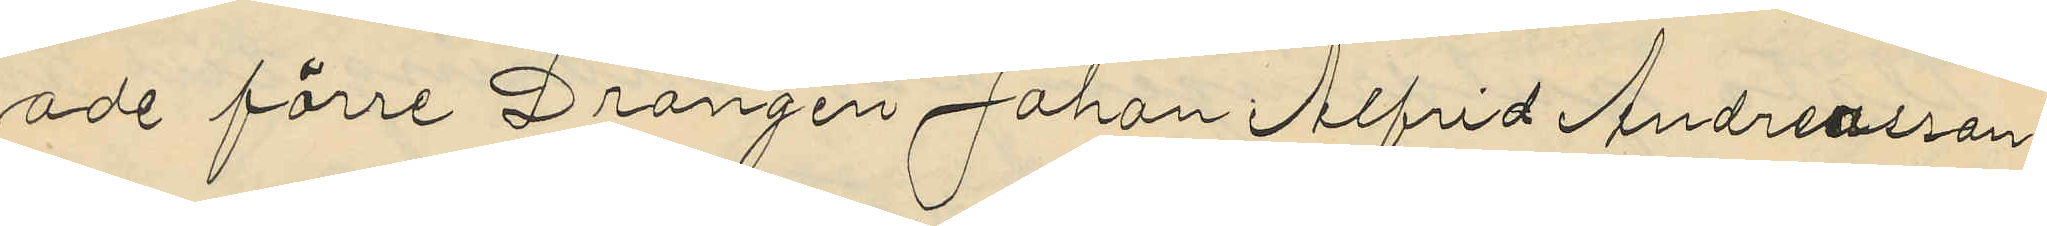ade förre Drängen Johan Alfrid Andreasson
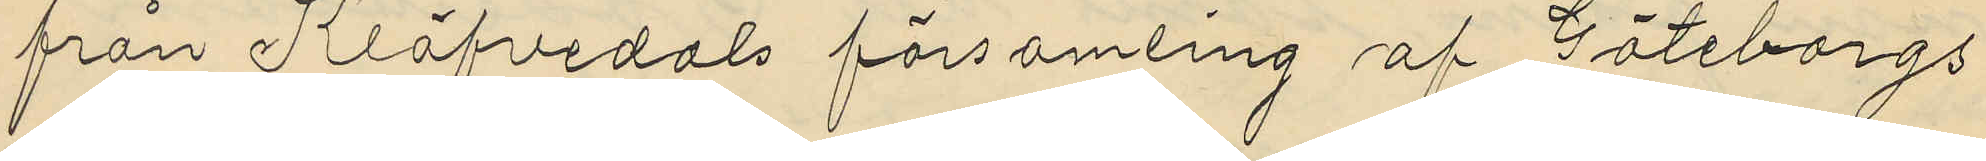från Klöfvedals församling af Göteborgs
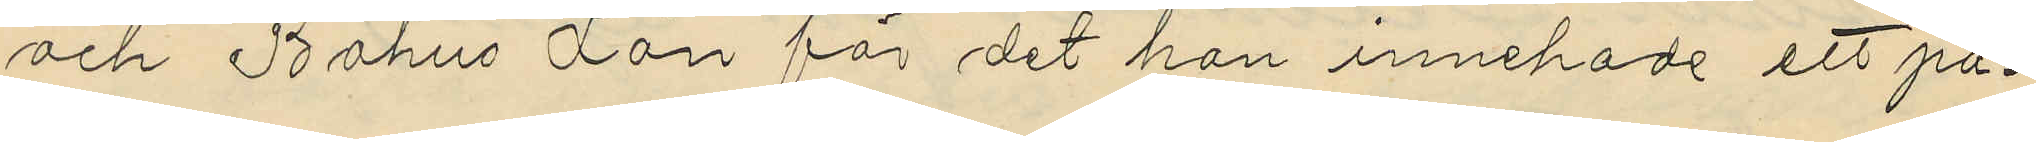och Bohus Län för det han innehade ett pa¬
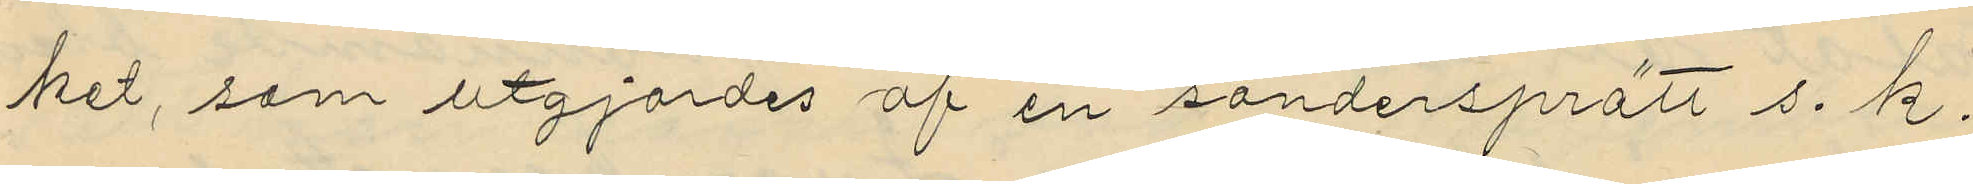ket, som utgjordes af en söndersprätt s. k.
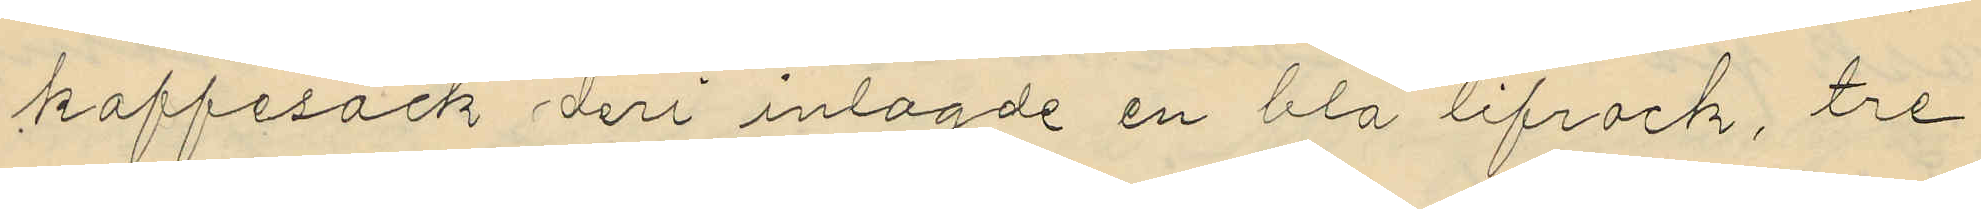kaffesäck deri inlagde en blå lifrock, tre
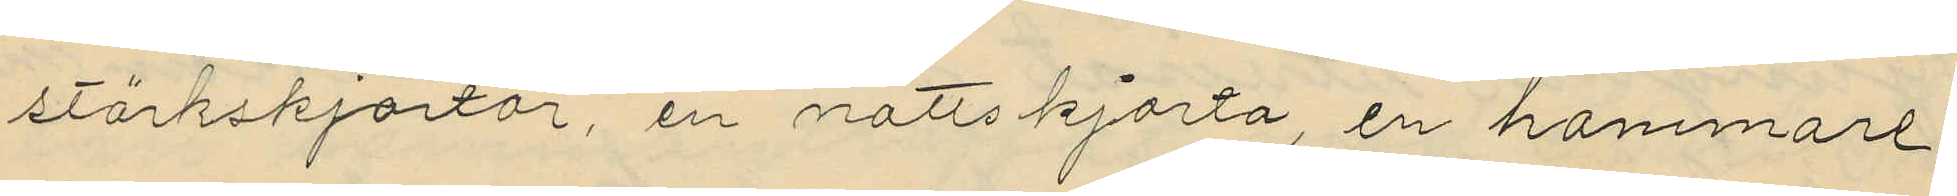stärkskjortor, en nattskjorta, en hammare
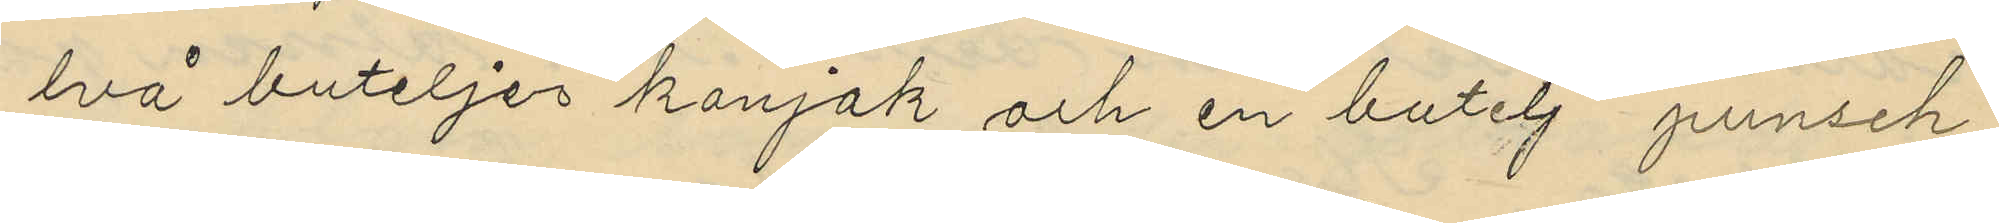två buteljer konjak och en butelj punsch
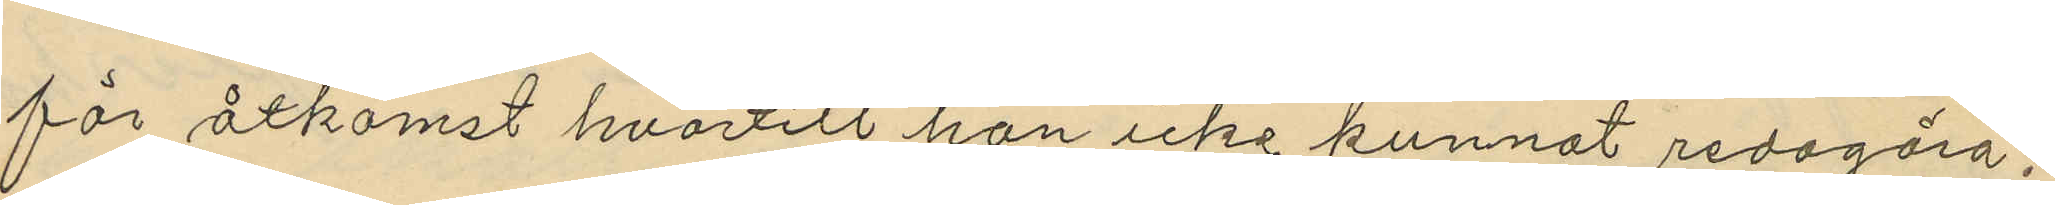för åtkomst hvartill han icke kunnat redogöra,
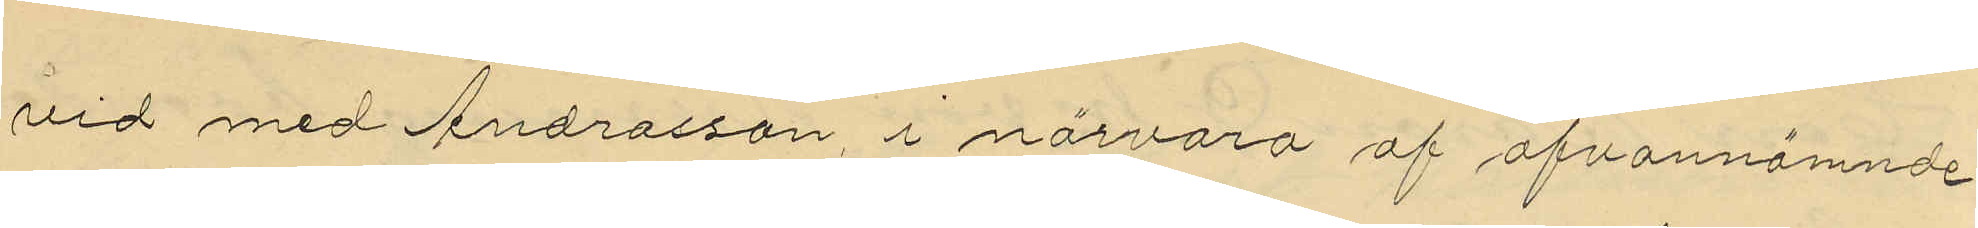vid med Andresson, i närvaro af ofvannämnde
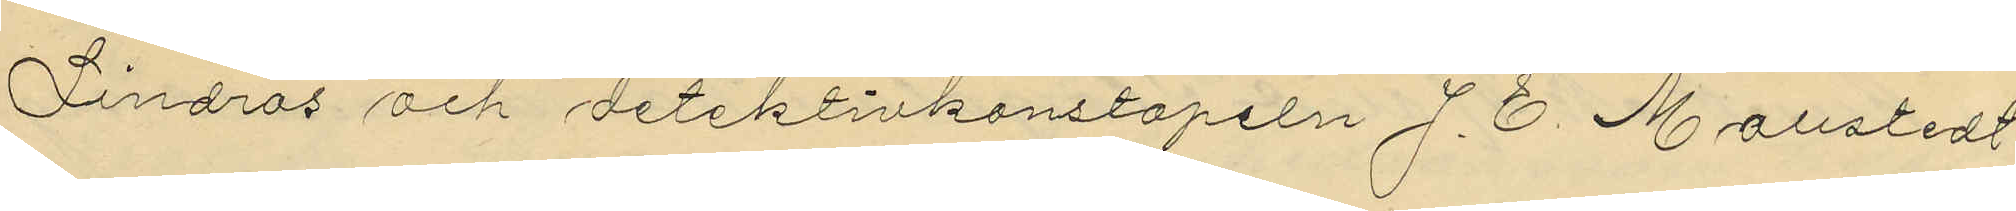Lindros och detektivkonstapeln J. E. Mollstedt
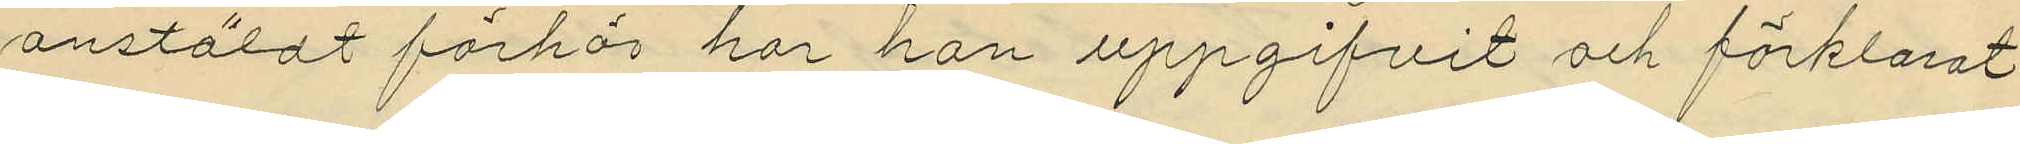anstäldt förhör har han uppgifvit och förklarat
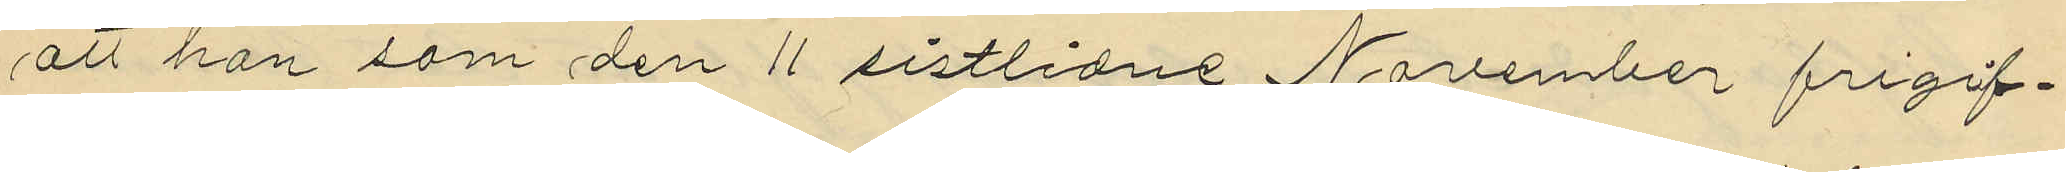att han som den 11 sistlidne November frigif¬
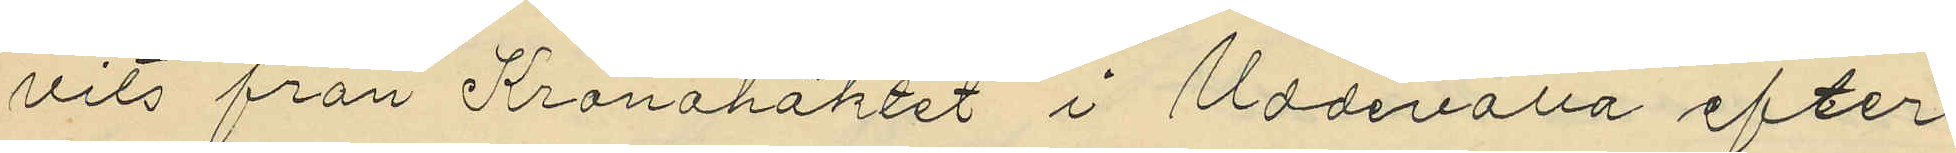vits från Kronohäktet i Uddevalla efter
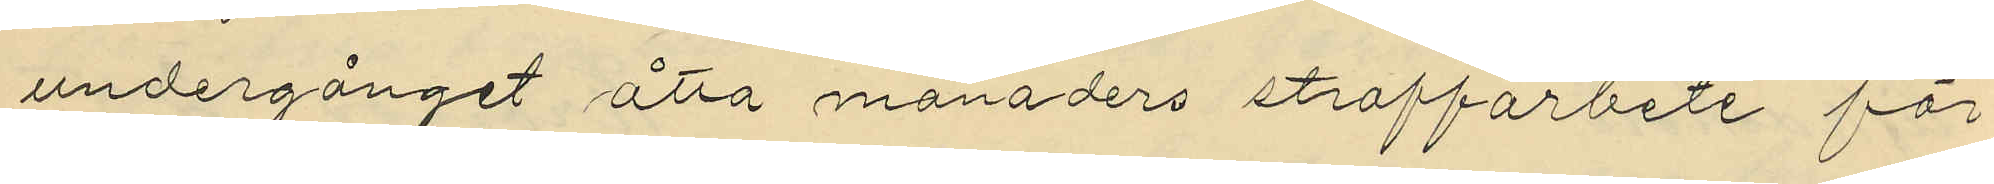undergånget åtta månaders straffarbete för
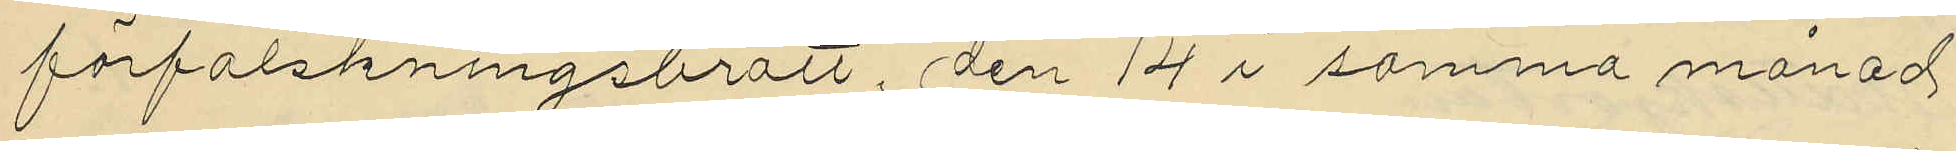förfalskningsbrott, den 14 i samma månad
